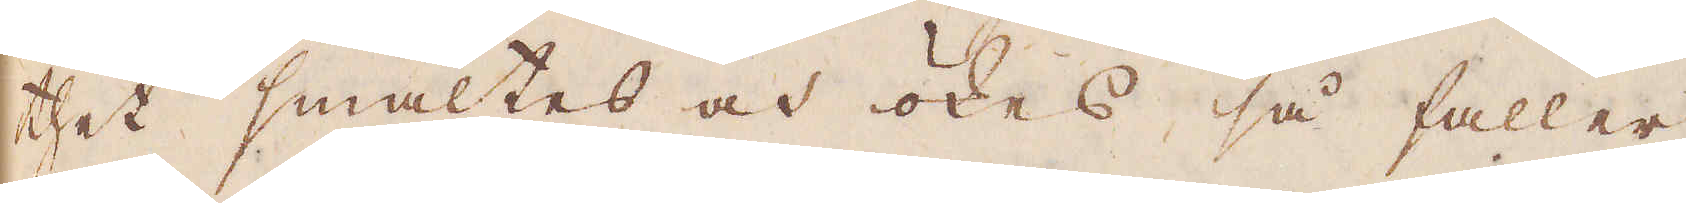thet smältes och ökas, så faller
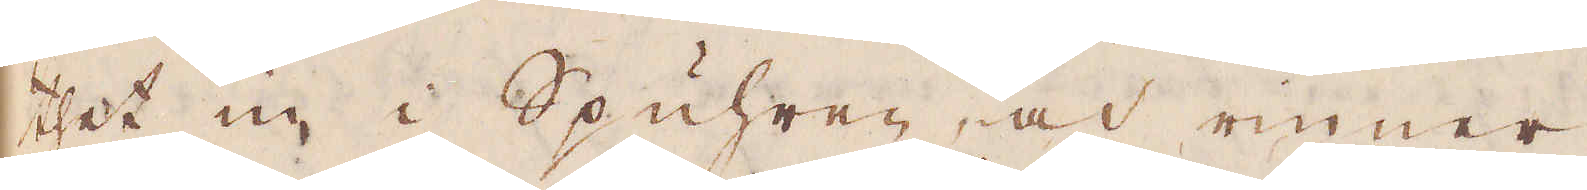thet in i Spuhren, och rinner
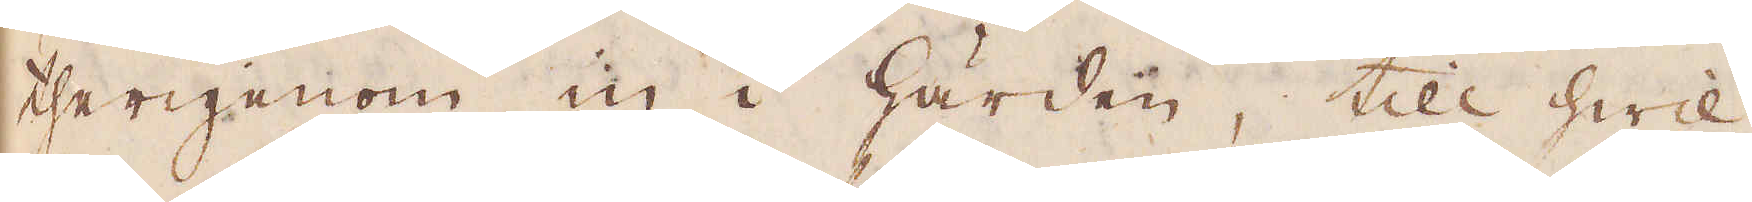therigenom in i härden, till hwil-
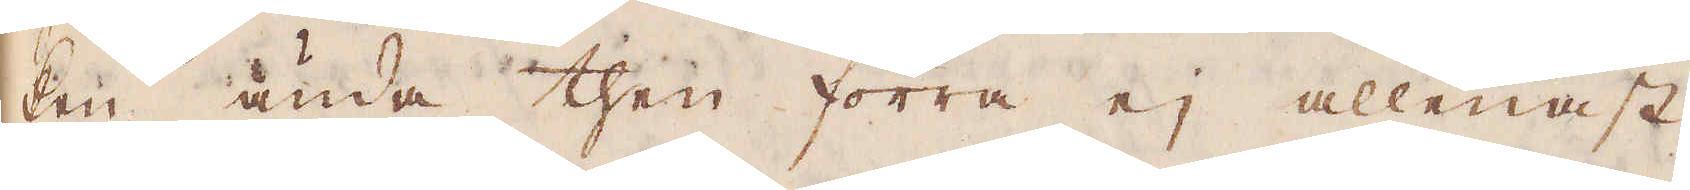ken ända then förra ej allenast
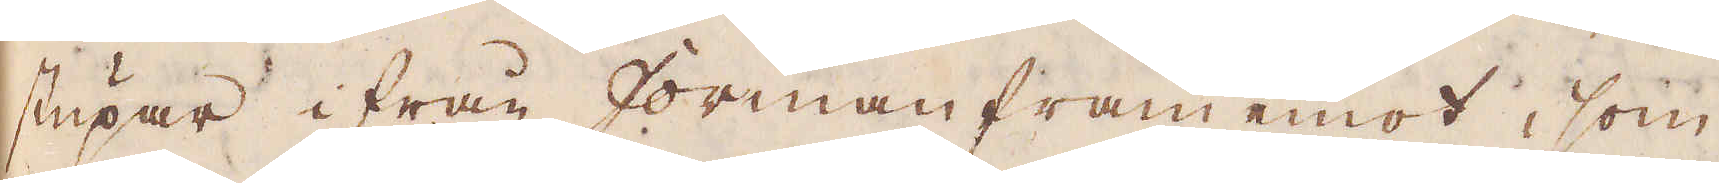stupar ifrån forman fram emot, som
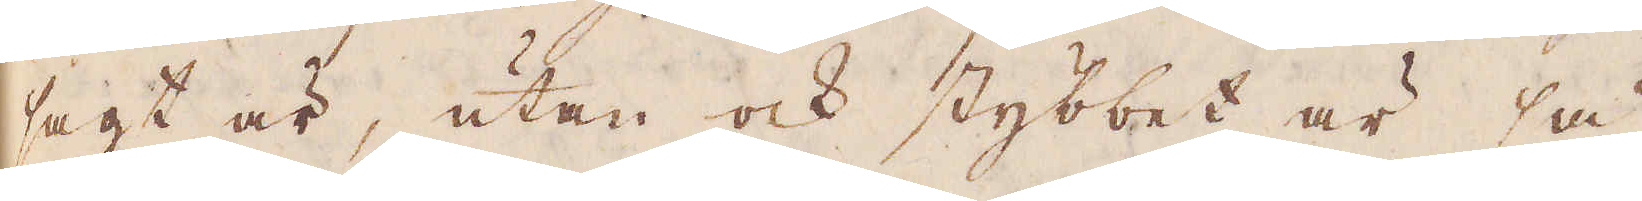sagt är, utan ock stybbet är så
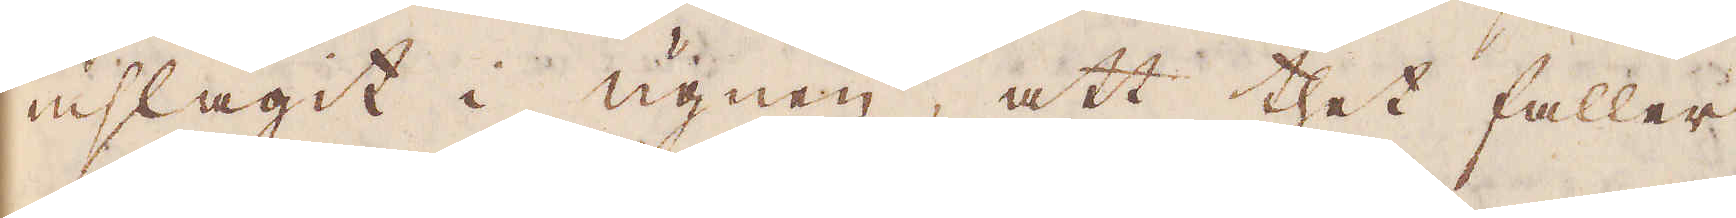inslagit i ugnen, att thet faller
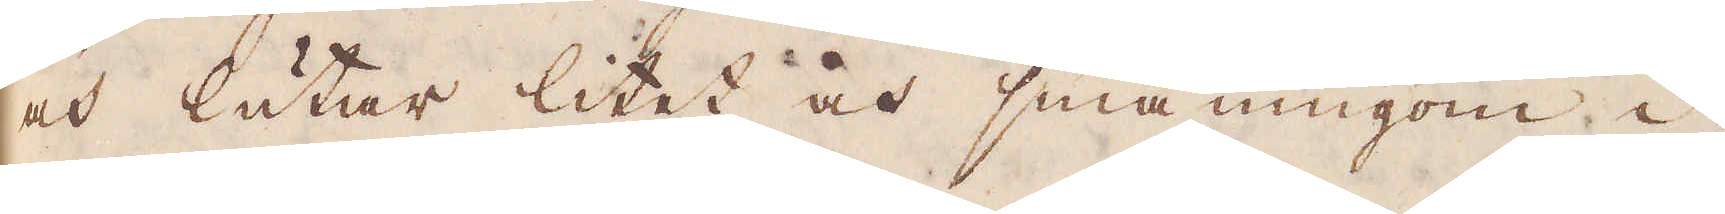och lutar litet och småningom i-
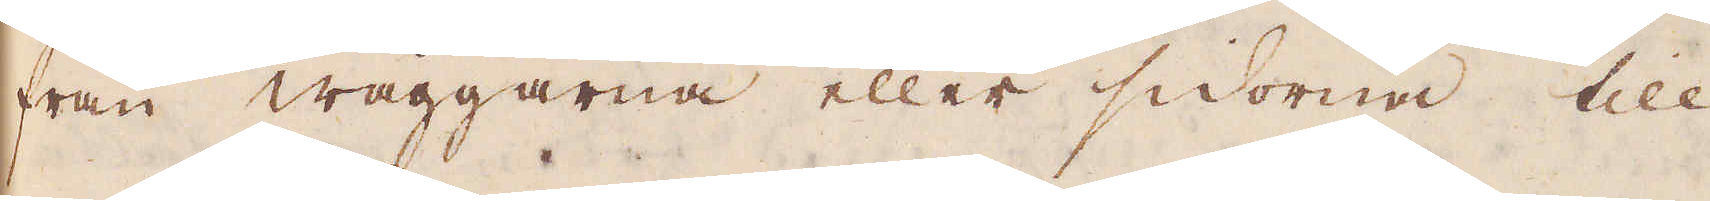från wäggarna eller sidorna till
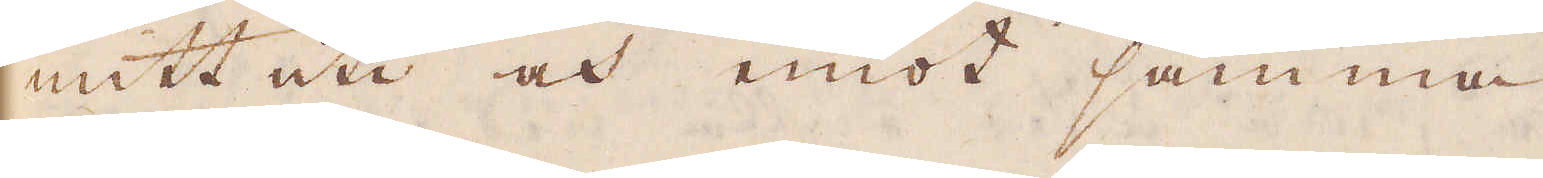mitt uti och emot samma
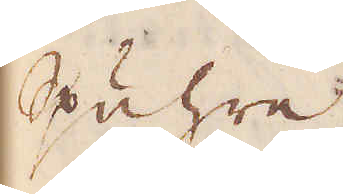Spuhre.
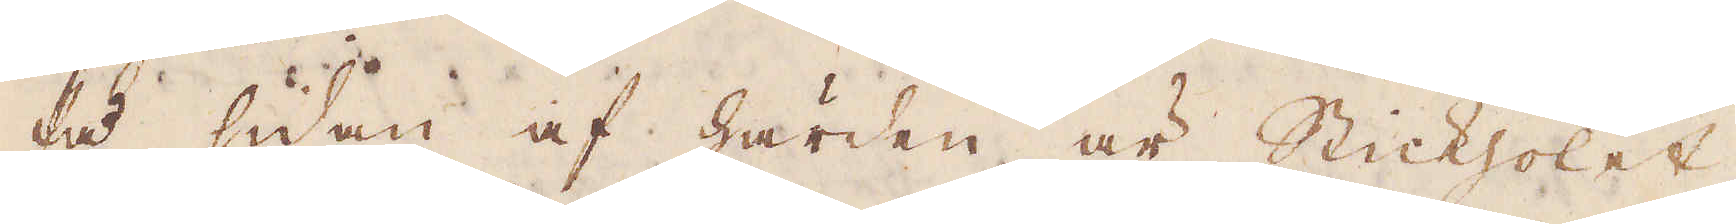På sidan af härden är Stickholet,
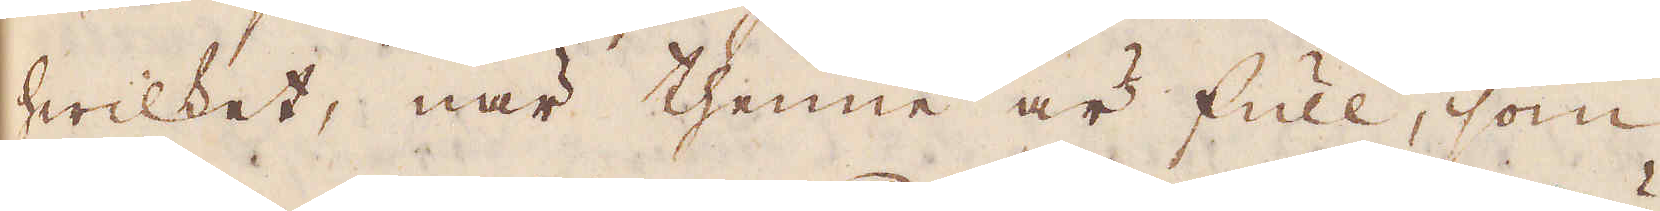hwilket, när thenne är full, som
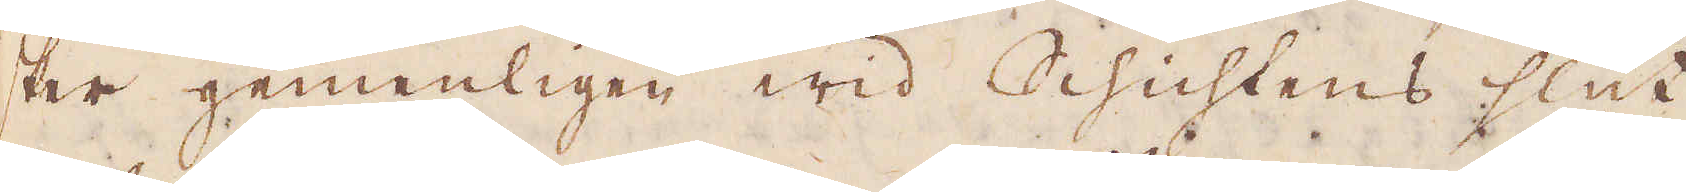sker gemenligen wid Schichtens slut,
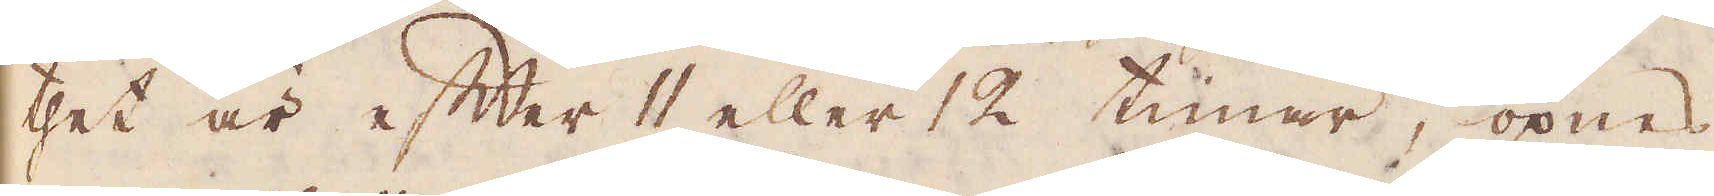thet är efter 11 eller 12 timar, öpnas
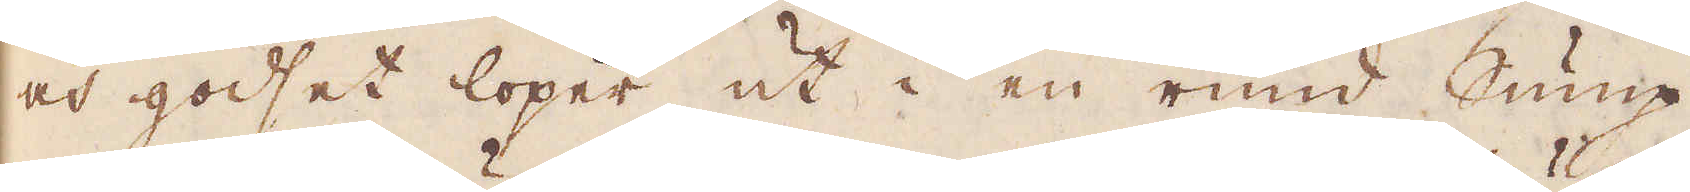och godset löper ut i en rund Sump
